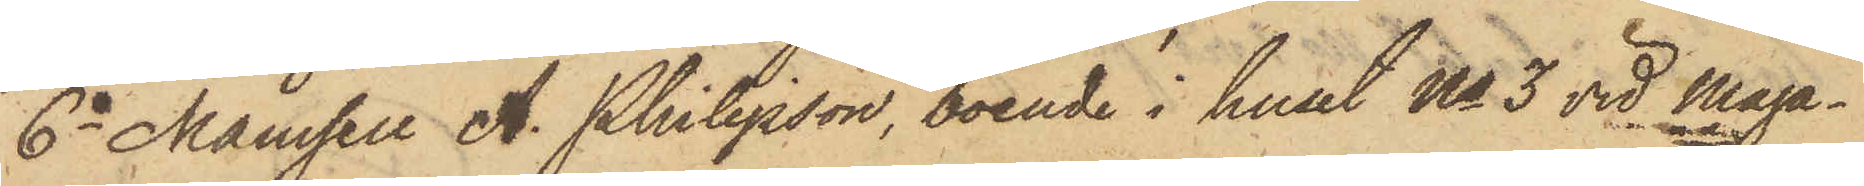6o Mamsell A. Philipsson, boende i huset No 3 vid Maga¬
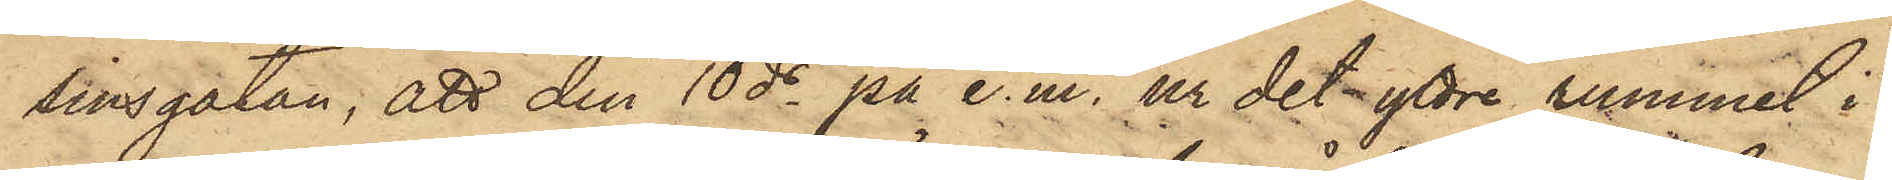sinsgatan; att den 10 ds på e.m. ur det yttre rummet i
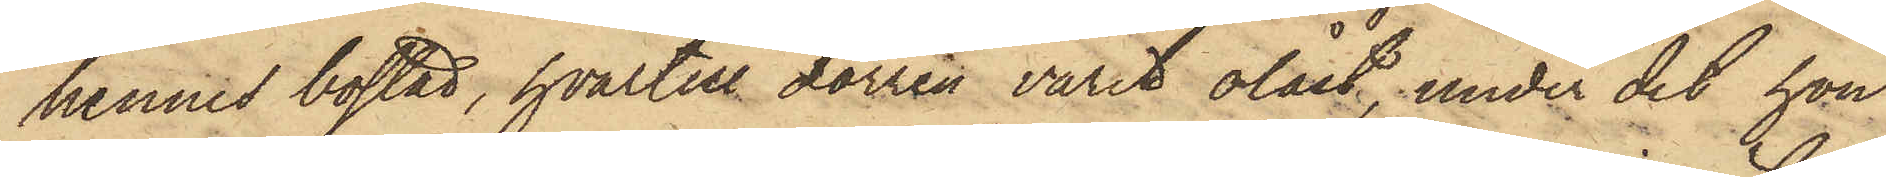hennes bostad, hvartill dörren varit olåst, under det hon
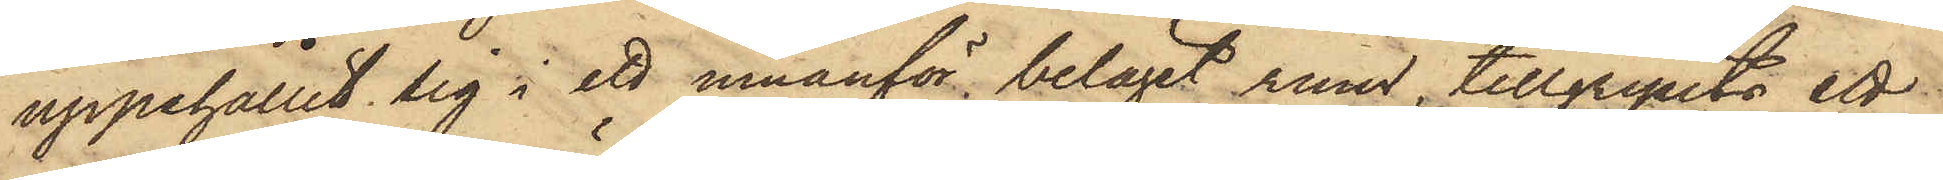uppehållit sig i ett innanför beläget rum, tillgripits ett
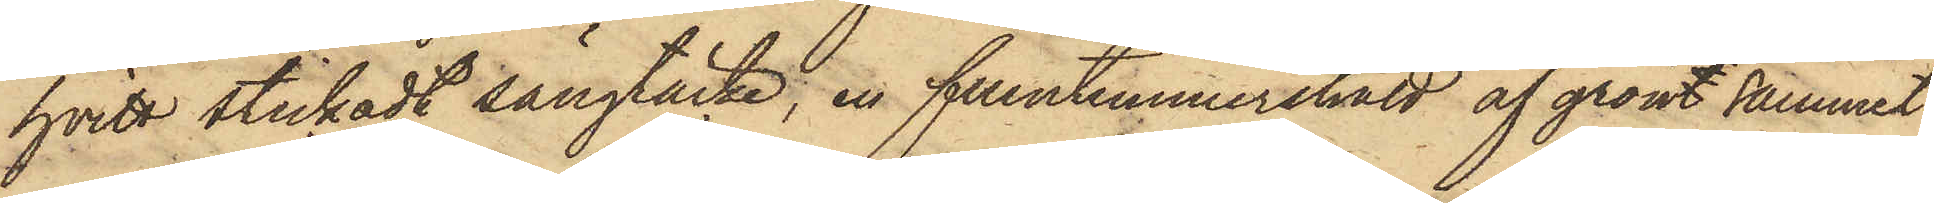hvitt stickadt sängtäcke, en fruntimmershatt af grönt sammet
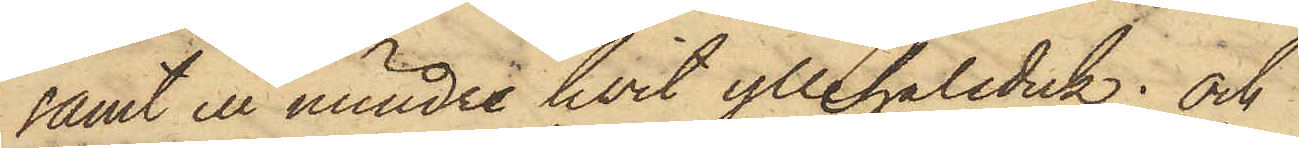samt en mindre hvit yllehalsduk; och
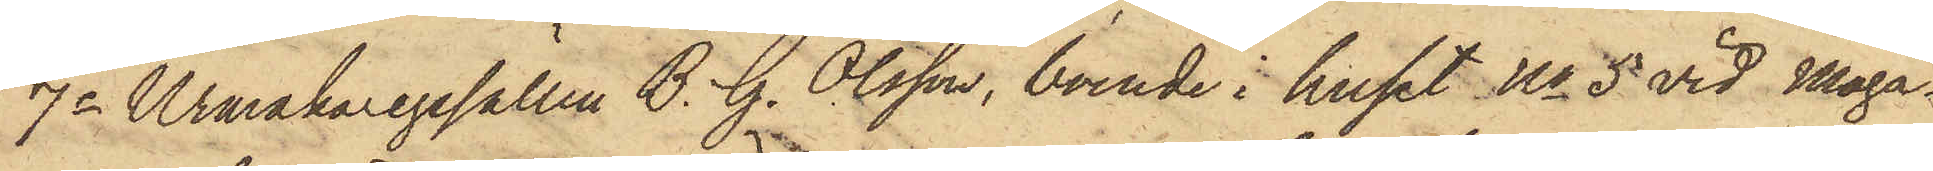7o Urmakaregesällen B. G. Olsson, boende i huset No 5 vid Maga¬
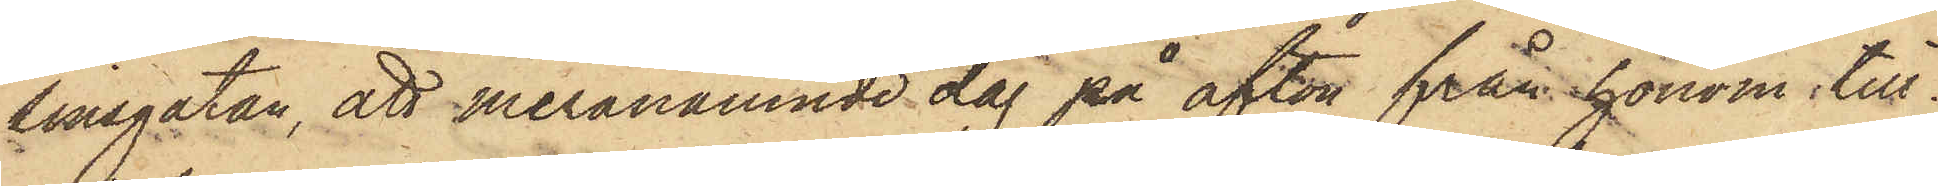sinsgatan, att meranämnde dag på afton från honom till¬
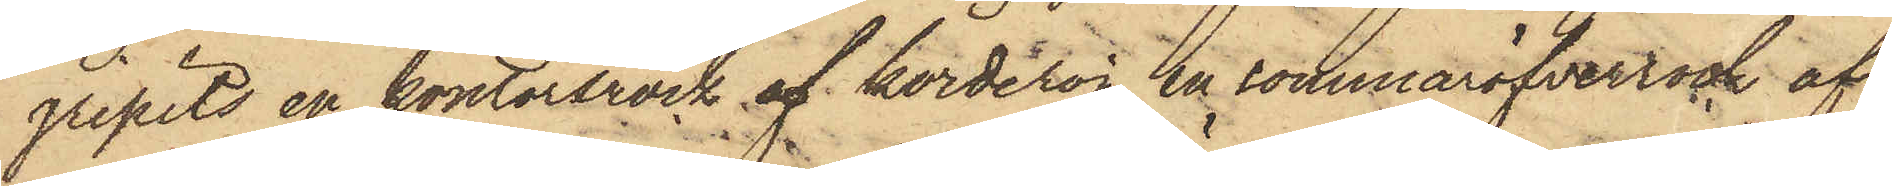gripits en kontorsrock af korderoj, en sommaröfverrock af
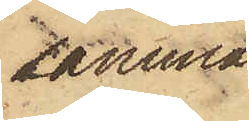samma
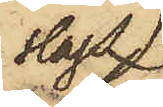slags
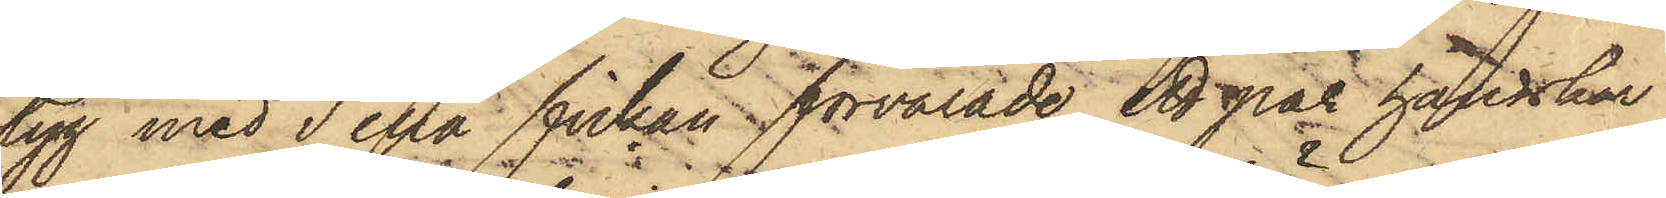tyg med i ena fickan förvarade ett par handskar
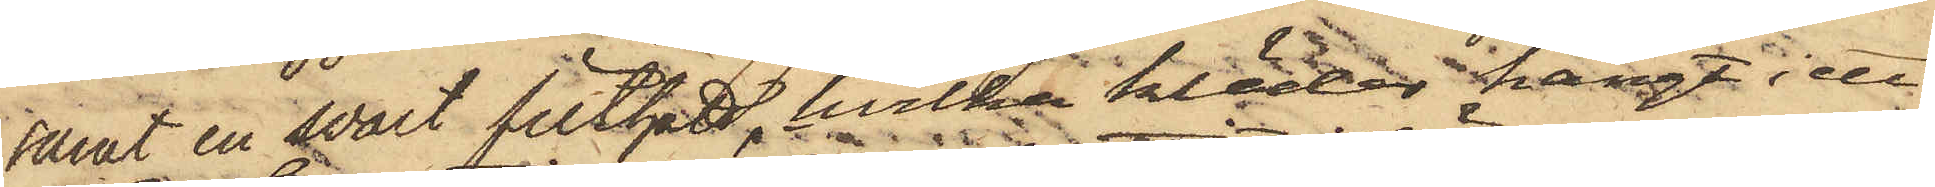at en svart filthatt, hvilka kläder hängt i ett
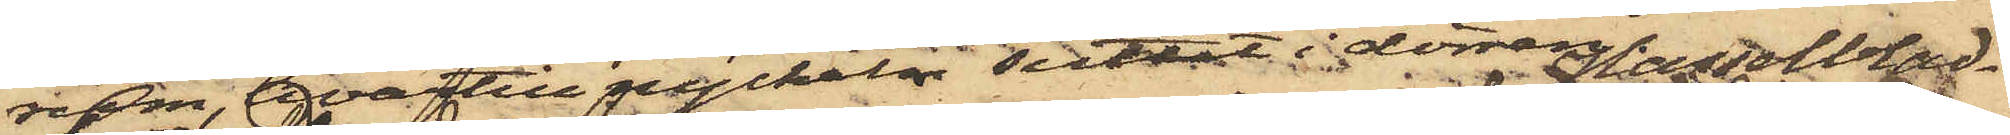rum, hvartill nyckeln suttit i dörren.
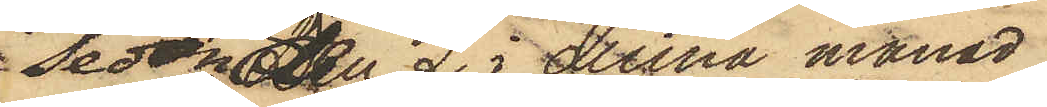Sedan den 2 i denna manad
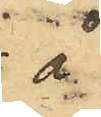å 
